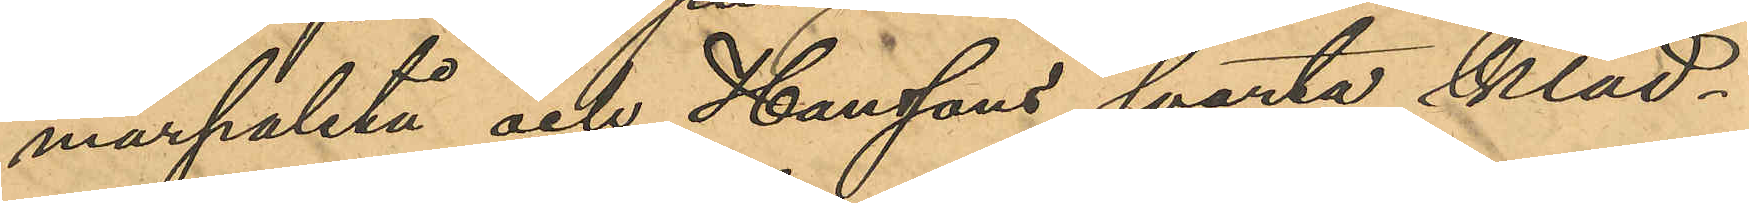marpaletå och Hanssons svarta kläd¬
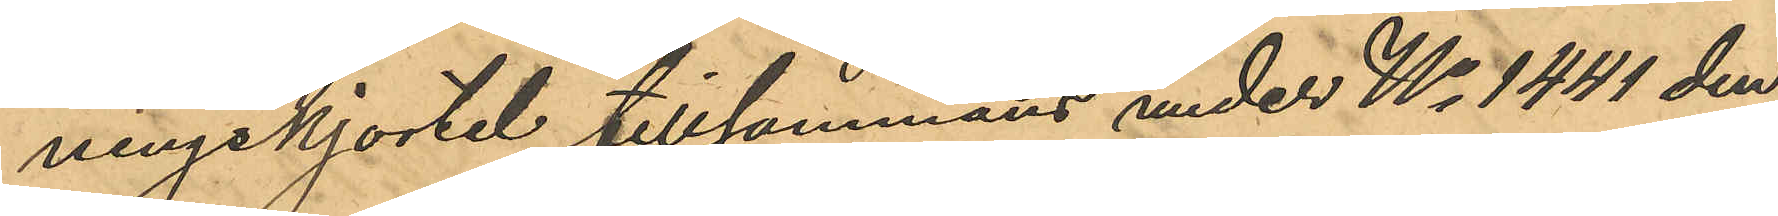ningskjortel tillsammans under No 1441 den
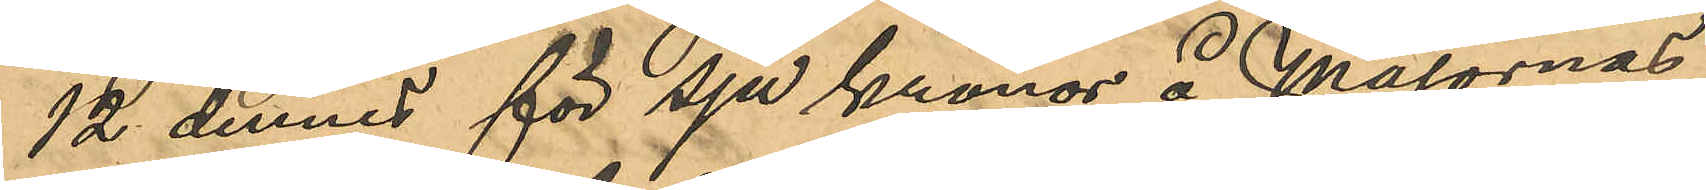12 dennes för sju Kronor å Majornas
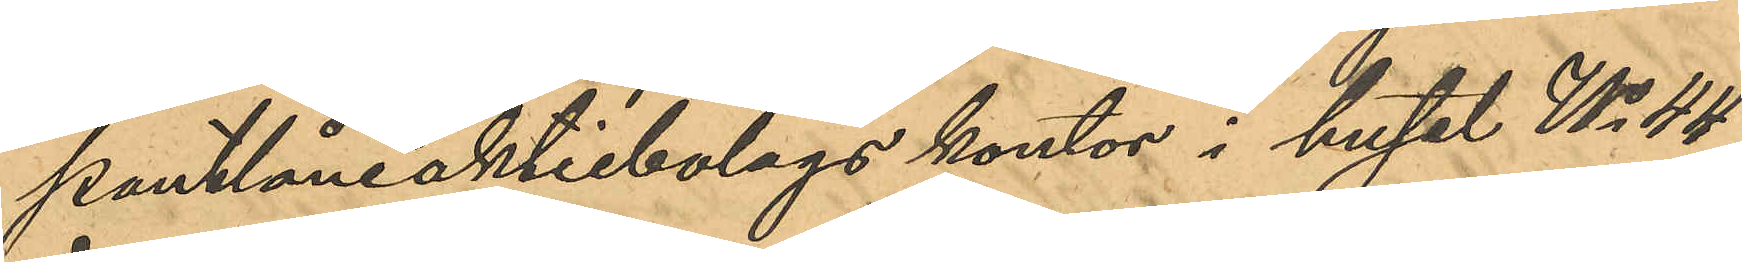pantlåneaktiebolags kontor i huset No 44
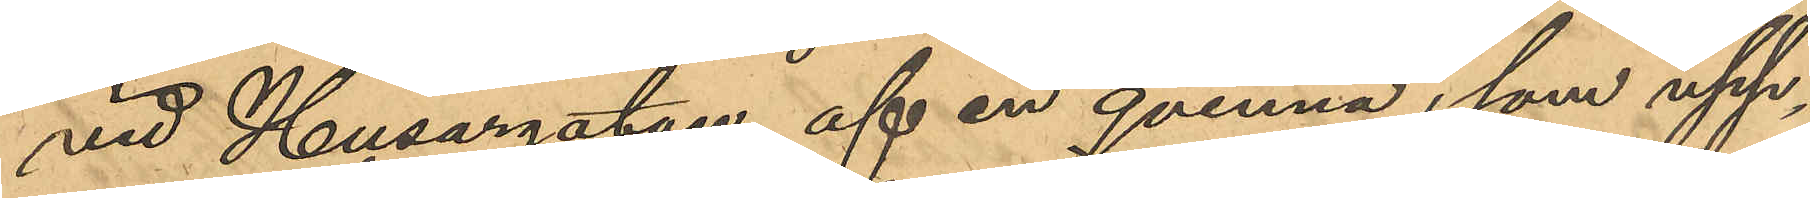vid Husargatan af en qvinna, som upp¬
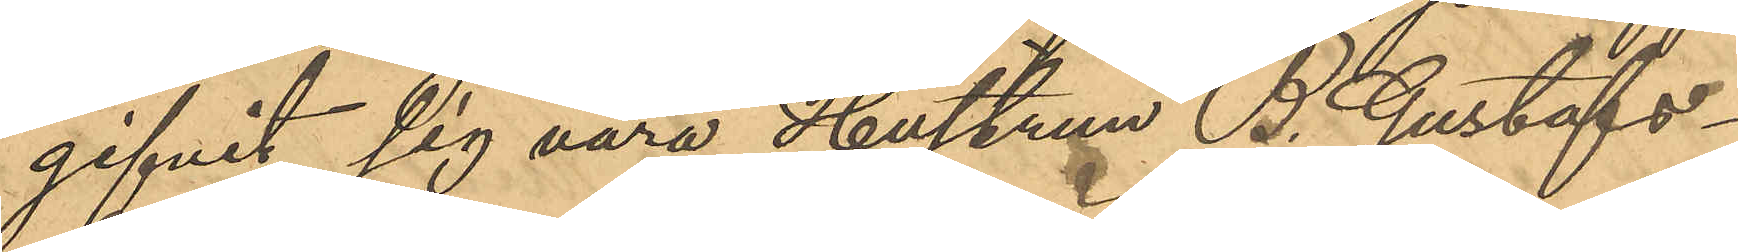gifvit sig vara Hustrun B. Gustafs¬
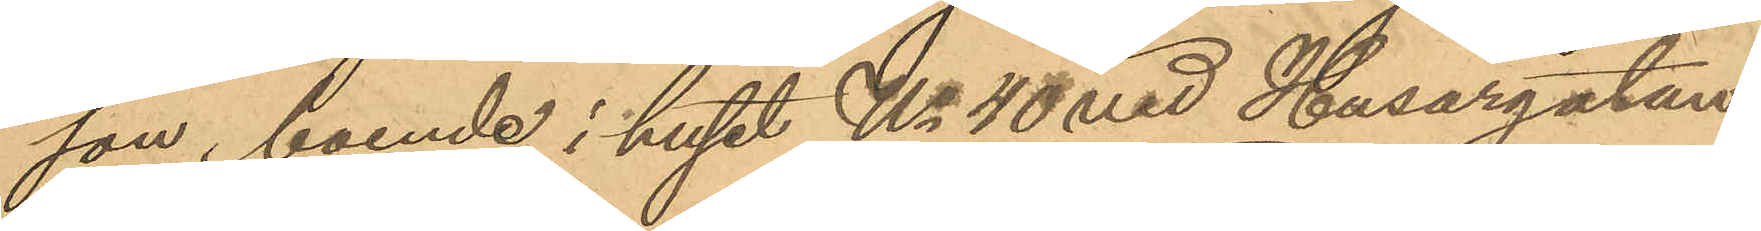son, boende i huset No 40 vid Husargatan,
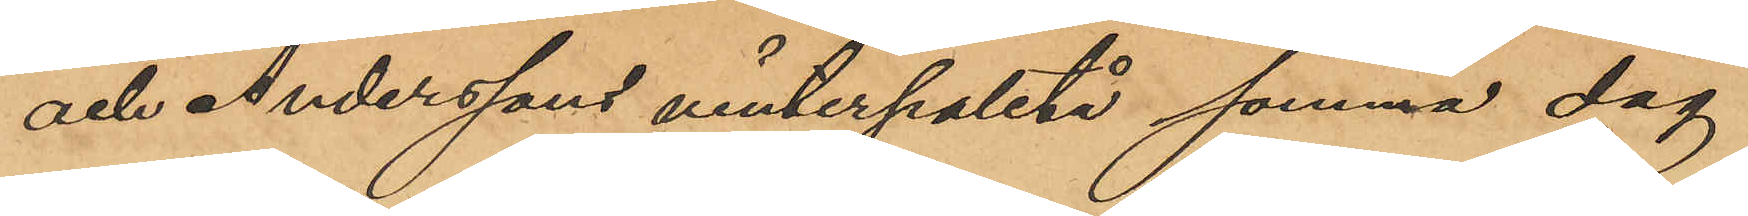och Anderssons vinterpaletå samma dag
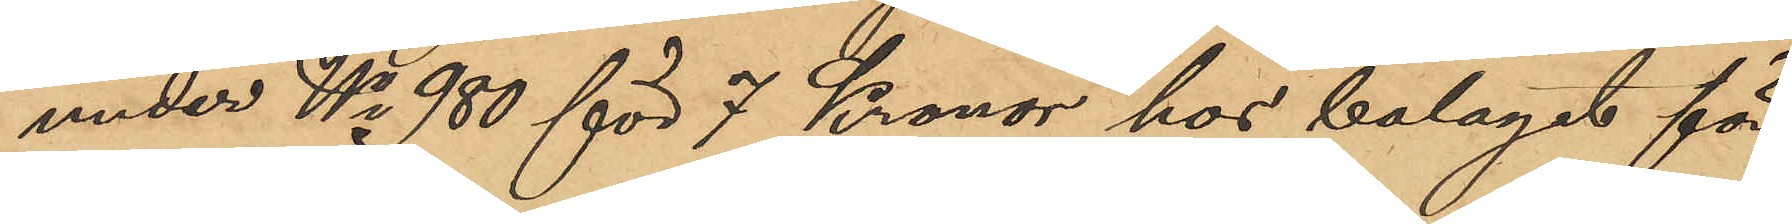under No 980 för 7 Kronor hos bolaget för
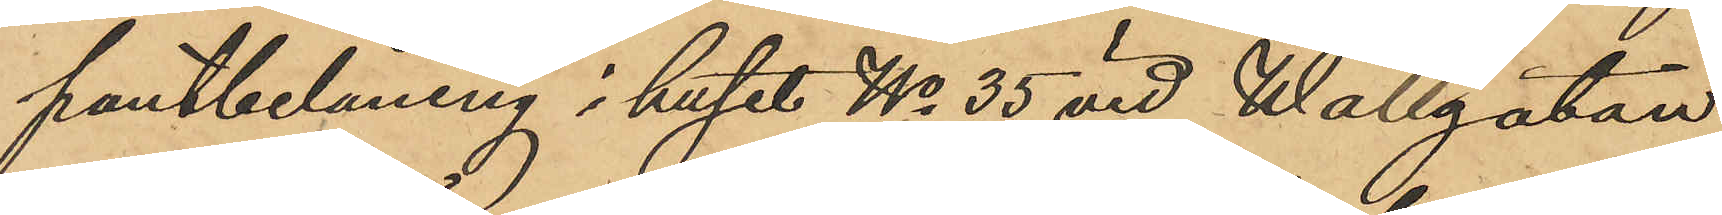pantbelåning i huset No 35 vid Wallgatan
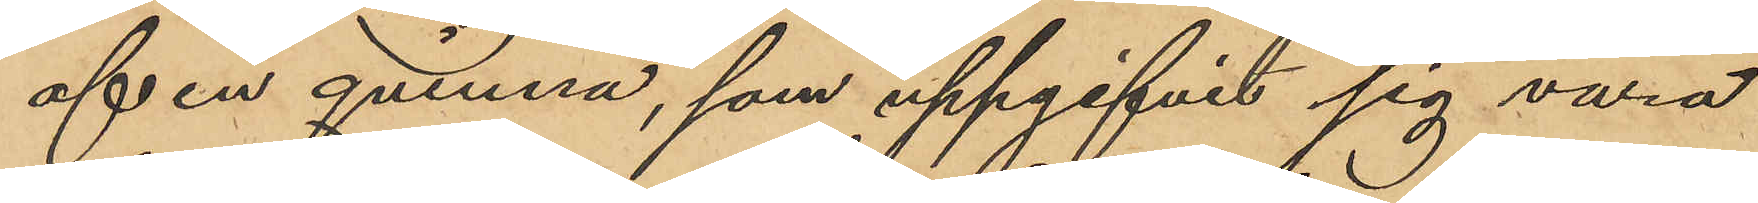af en qvinna, som uppgifvit sig vara
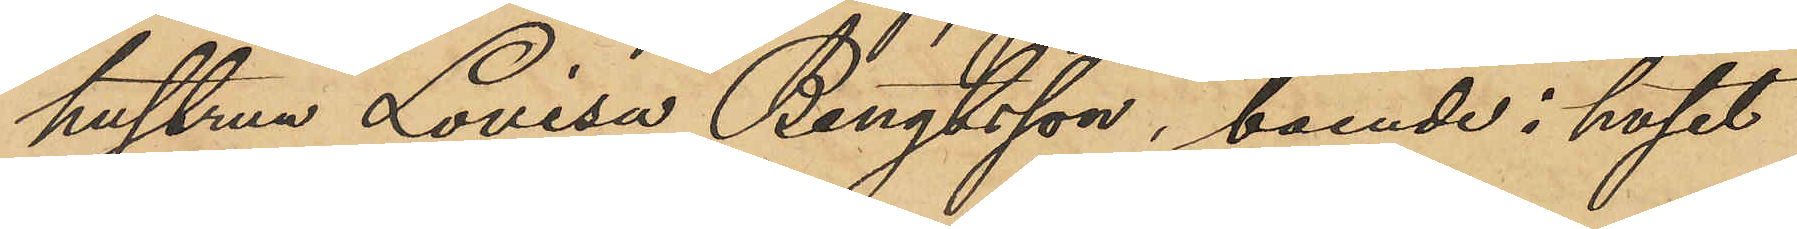hustrun Lovisa Bengtsson, boende i huset
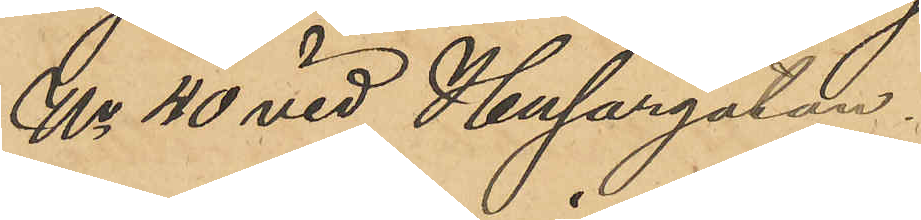No 40 vid Husargatan.
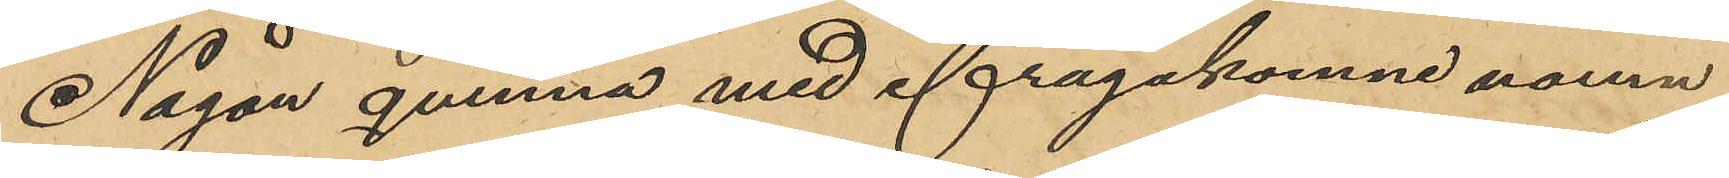Någon qvinna med ifrågakomne namn
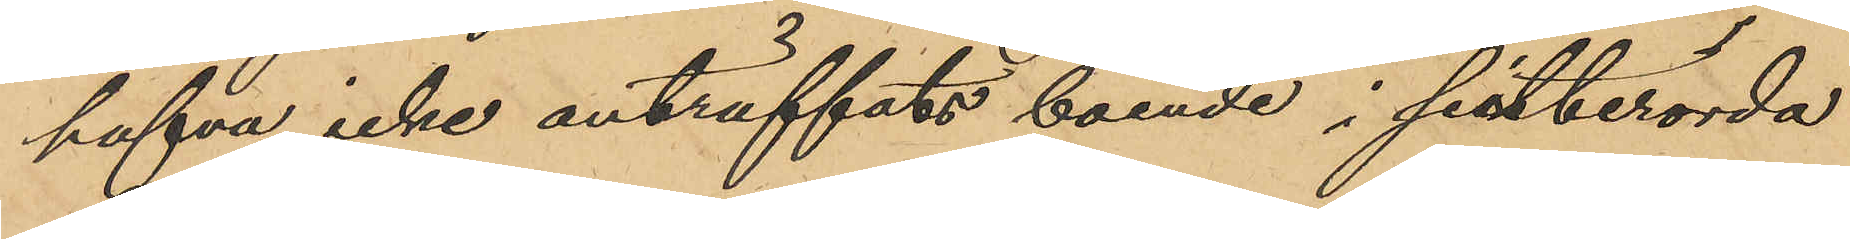hafva icke anträffats boende i sistberörda
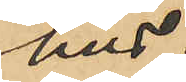hus.
